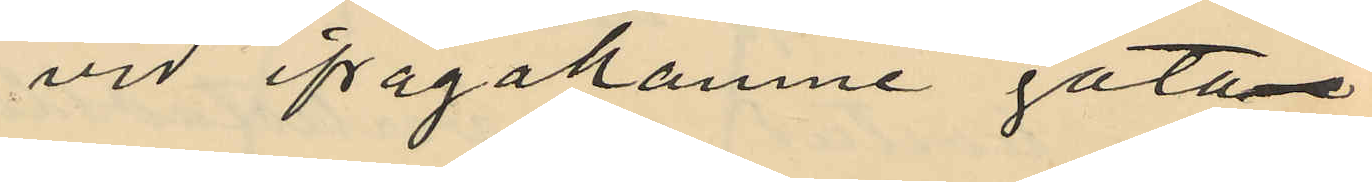vid ifrågakomne gatan
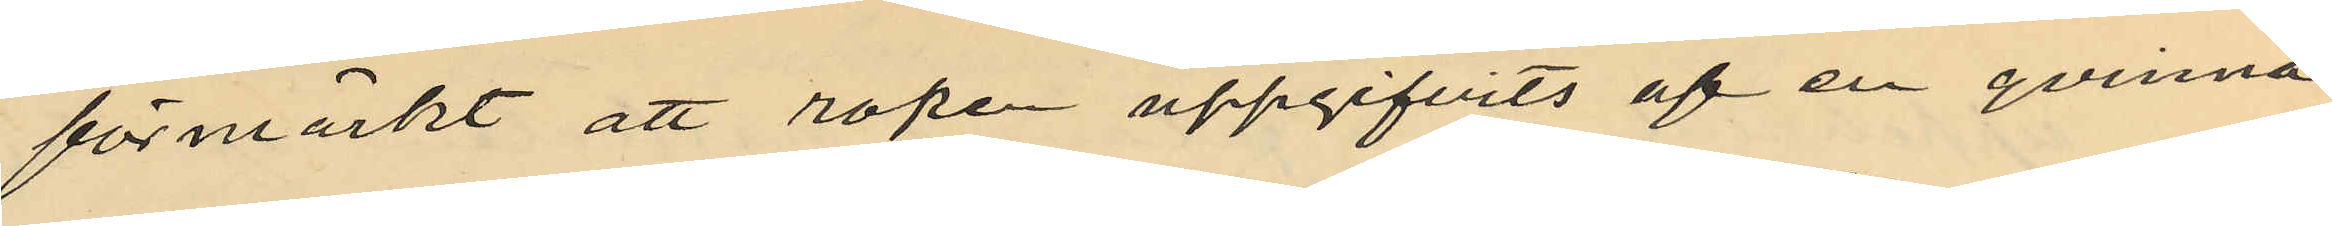förmärkt att ropen uppgifvits af en qvinna
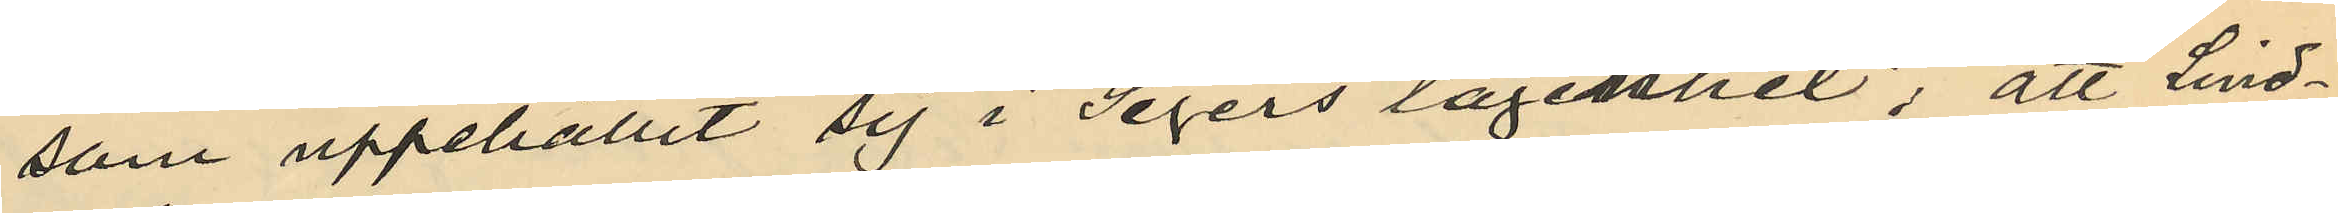som uppehållit sig i Segers lägenhet; att Lind¬
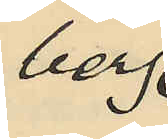berg.
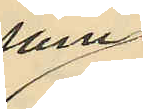som
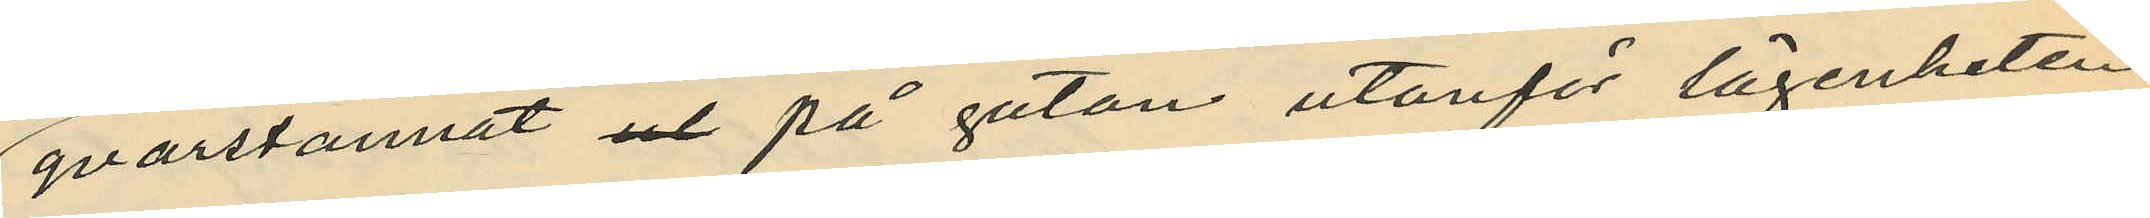qvarstannat ut på gatan utanför lägenheten
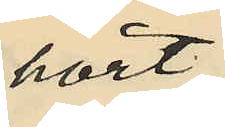hört
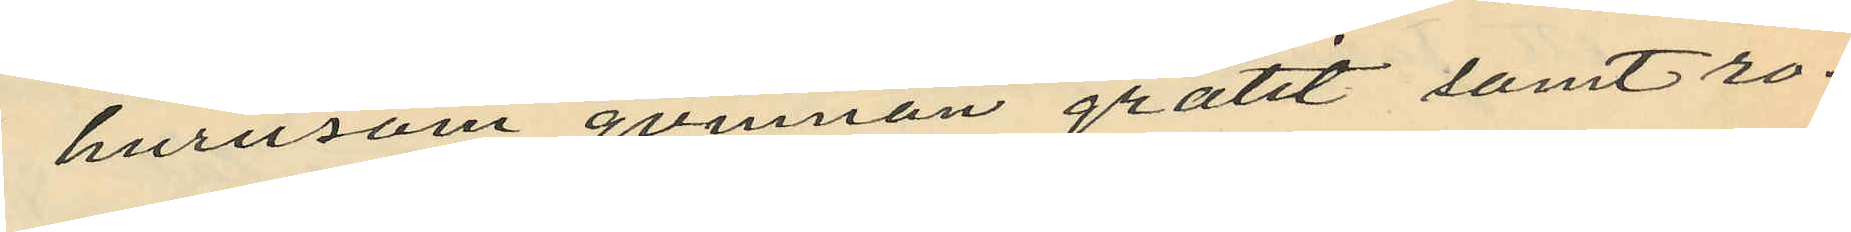hurusom qvinnan gråtit samt ro¬
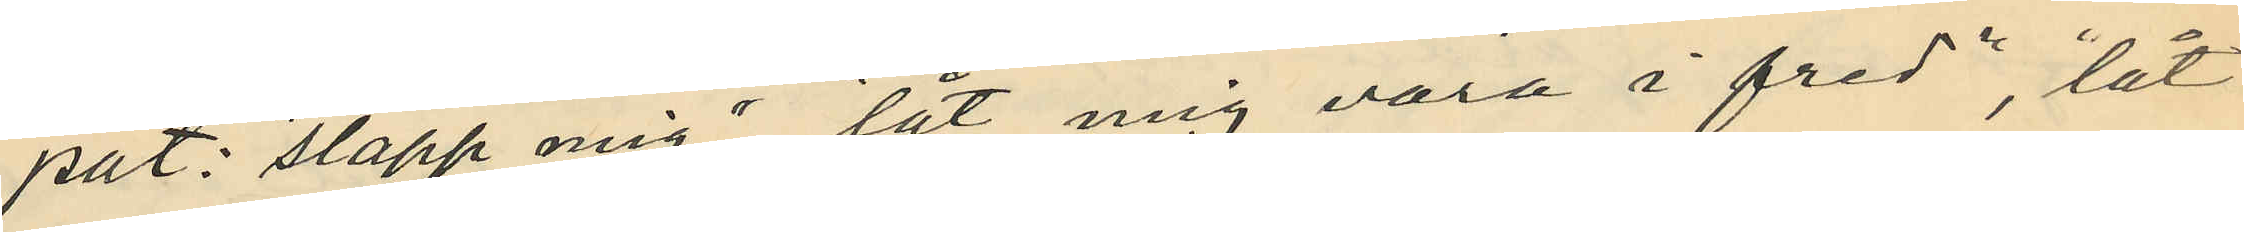pat: "släpp mig", "låt mig vara i fred", "låt
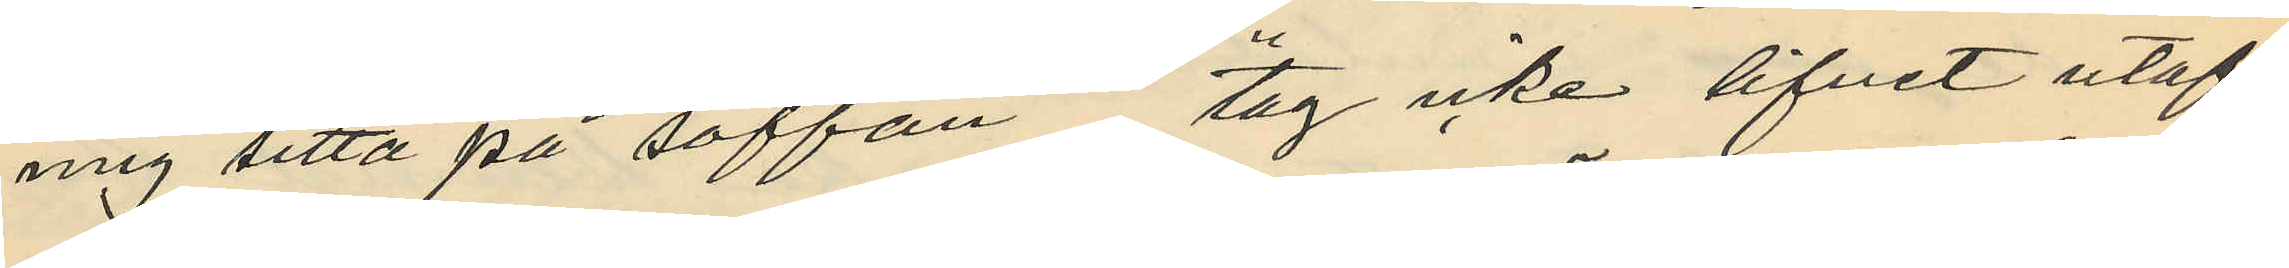mig sitta på soffan", "tag icke lifvet utaf
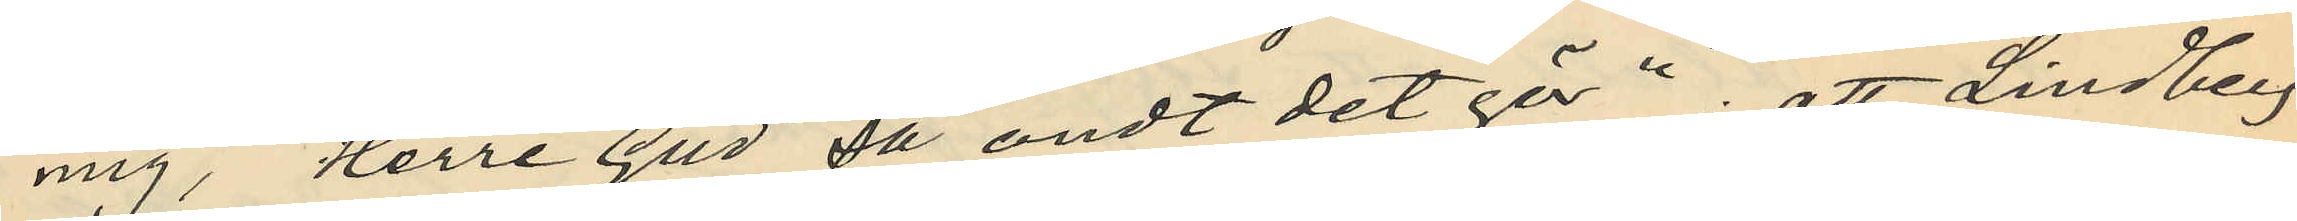mig", "Herre Gud så ondt det gör"; att Lindberg
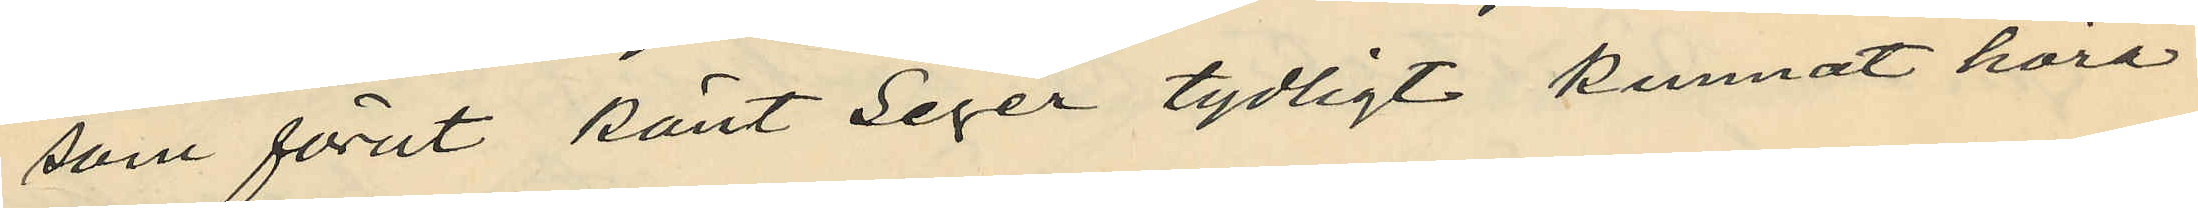som förut känt Seger tydligt kunnat höra
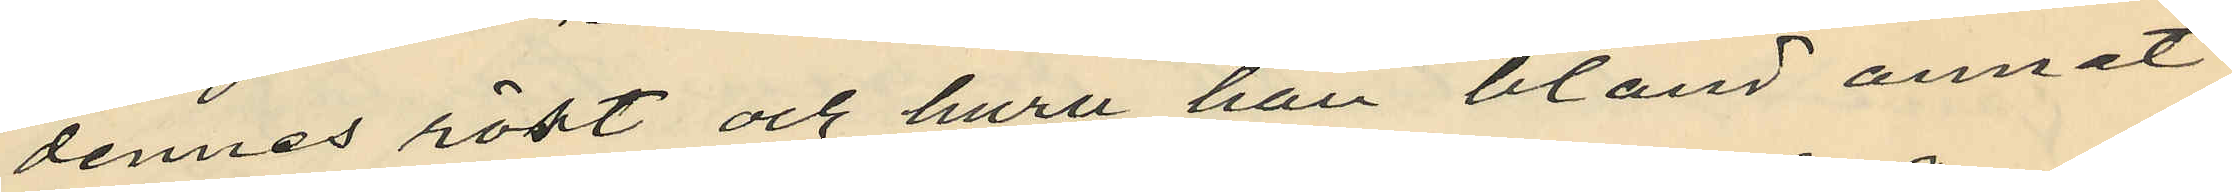dennes röst och huru han bland annat
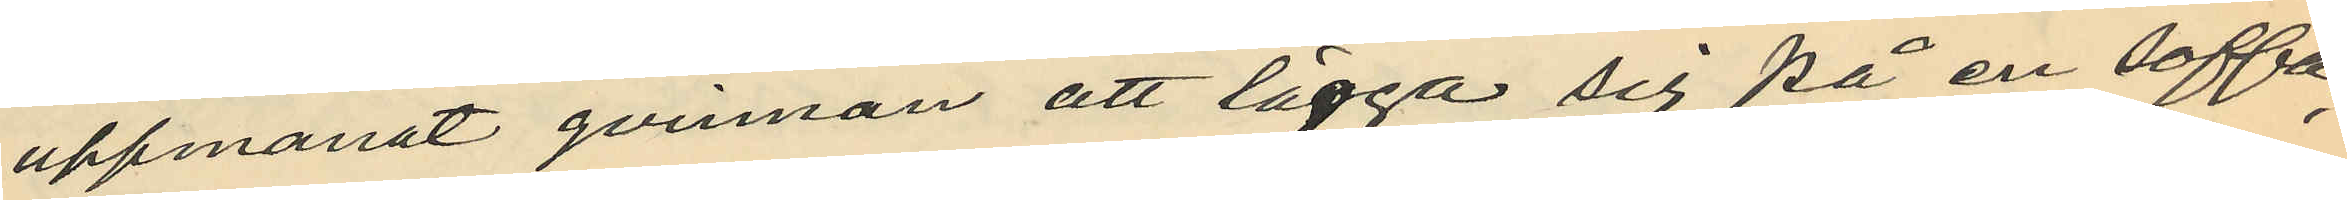uppmanat qvinnan att lägga sig på en soffa,
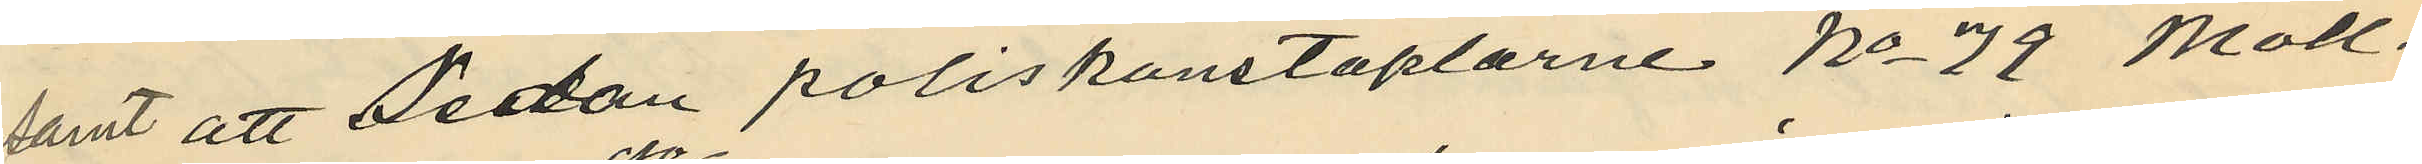samt att Sedan poliskonstaplarne No 79 Moll¬
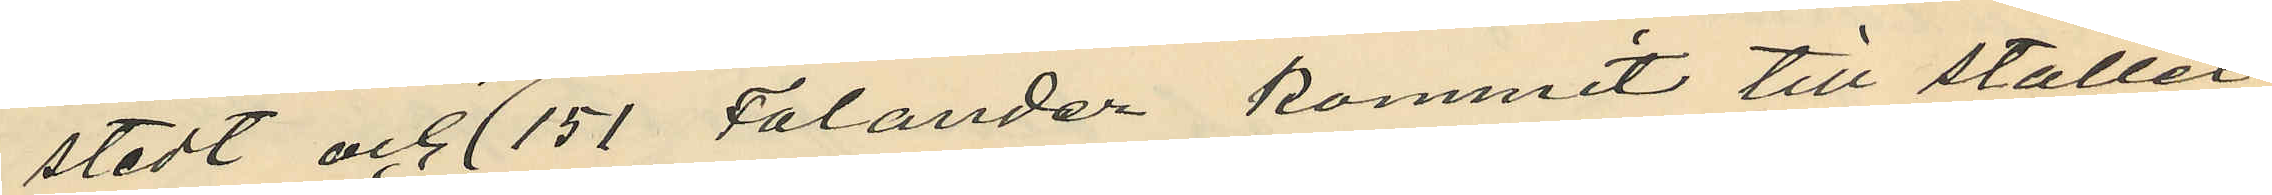stedt och No151 Falander kommit till stället
